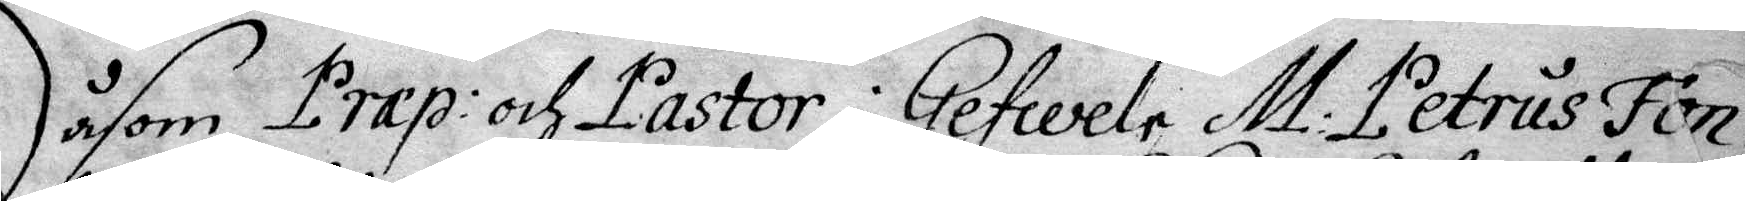Såsom Præp: och Pastor i Gefwele M: Petrus Fon¬
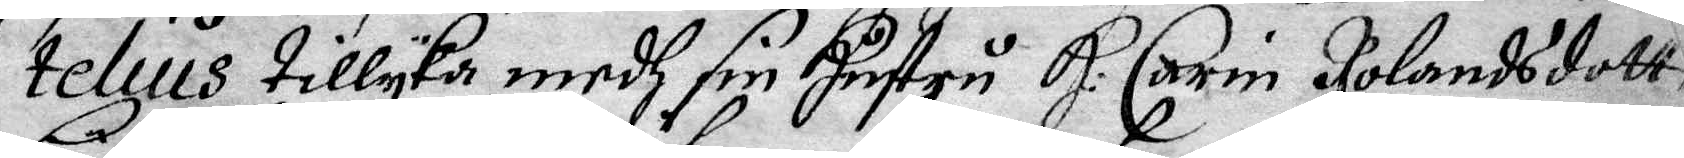telius tillyka medh sin Hustru H: Carin Rolandsdotter
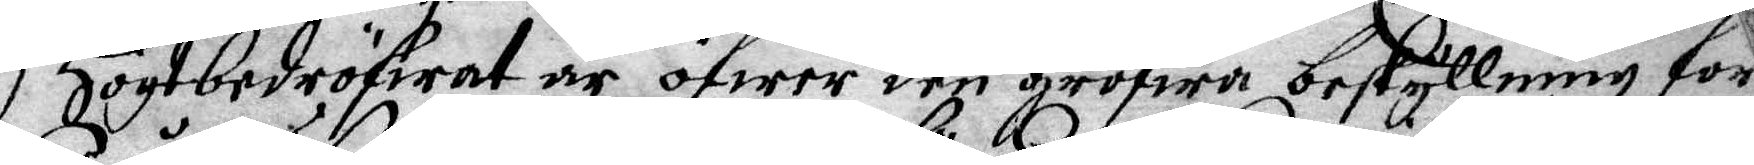Högtbedröfwat är öfer den grofwa beskyllning for
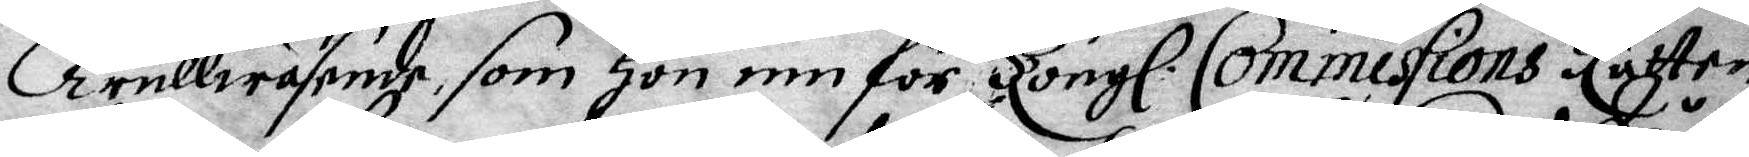Trullwäsende som Hon inn för Kongl. Commissions Rätten
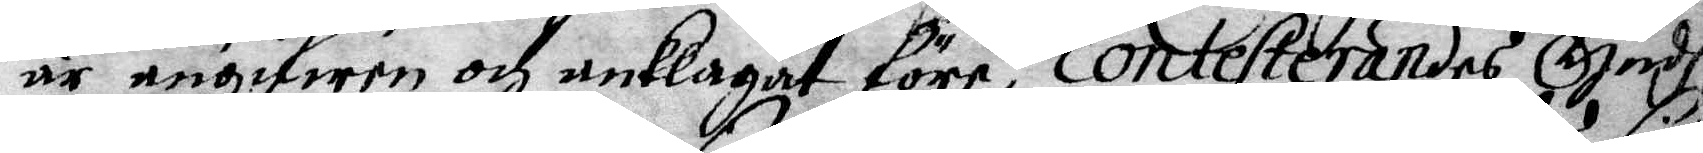är angifwen och anklagat före, contesterandes Gudh
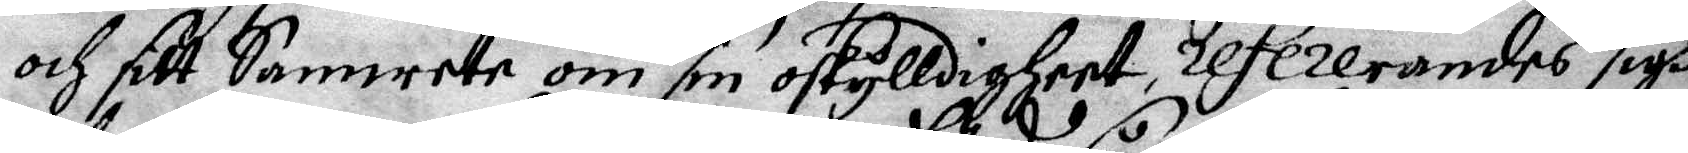och sitt Samwete om sin oskylldigheet, refererandes sigh
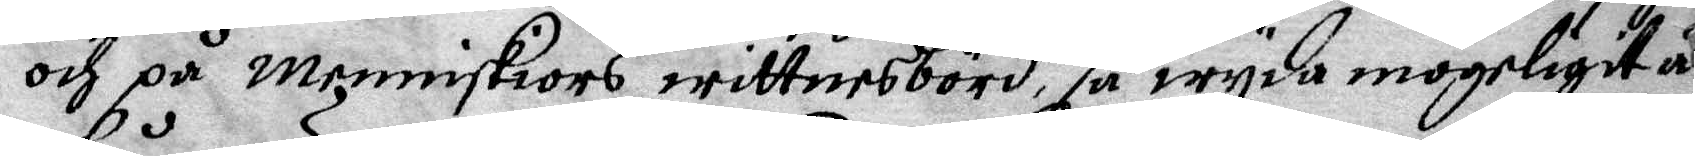och på menniskiors wittnesbörd, så wyda mögeligit är
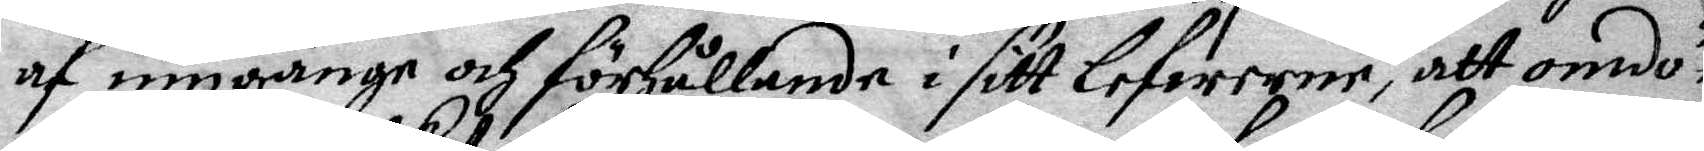af umgänge och förhållande i sitt lefwerne, att omdö¬
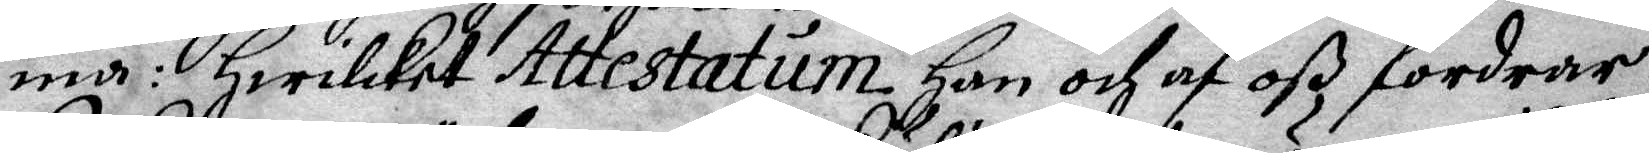ma: Hwilket Attestatum Han och af oß fordrar;
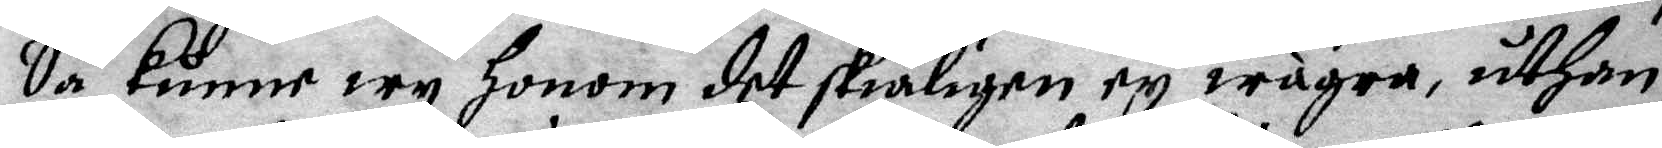Så kunne wy Honom det skiäligen ey wägra, uthan
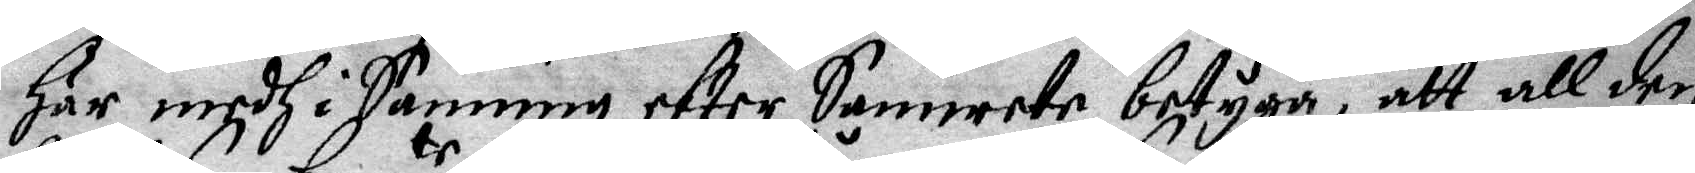Här medh i Sanning efter Samwete betyga, att all den
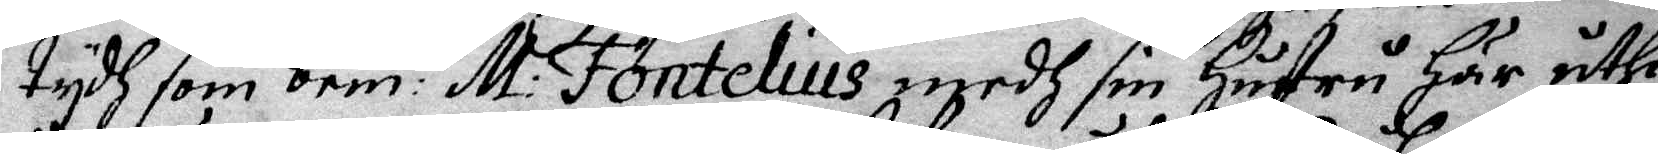tydh som bem: te M: Fontelius medh sin Hustru Här uthi
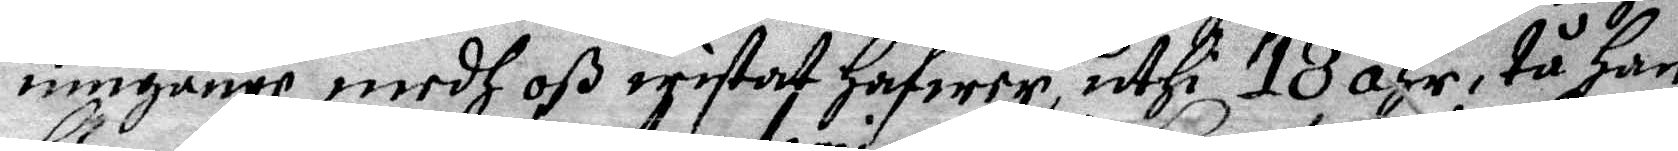umgänge medh oß wistat Hafwer, uthi 18 åhr, tå Han
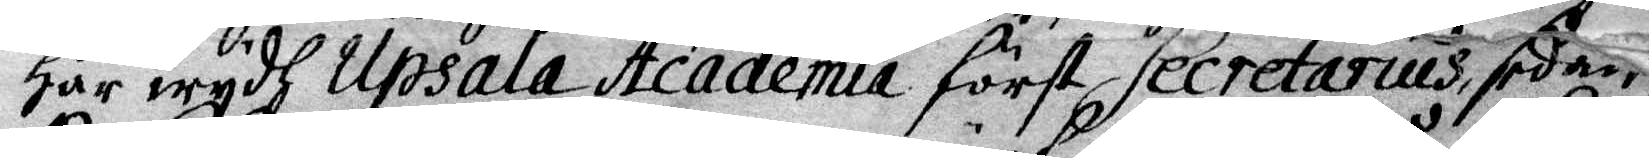Här wydh Ubsala Academia först Secretarius, sedan
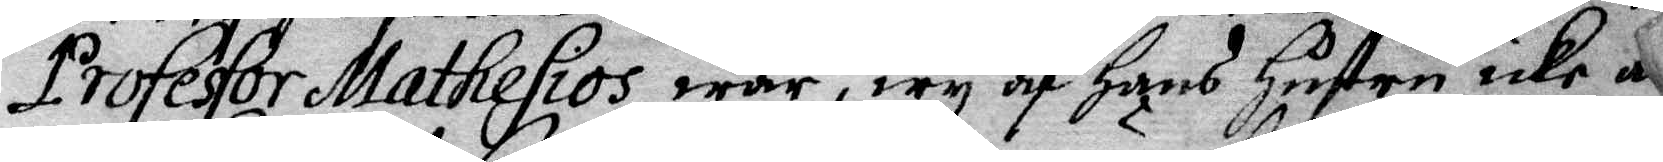Professor Mathesios war, wy af Hans Hustru icke an¬
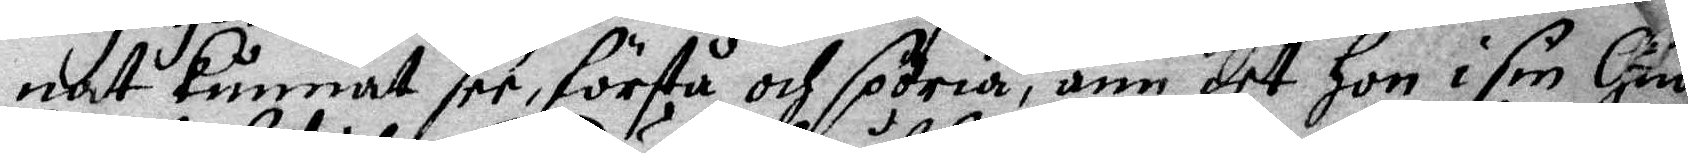nat Kunnat see, förstå och spöria, änn det Hon i sin Gudh¬
